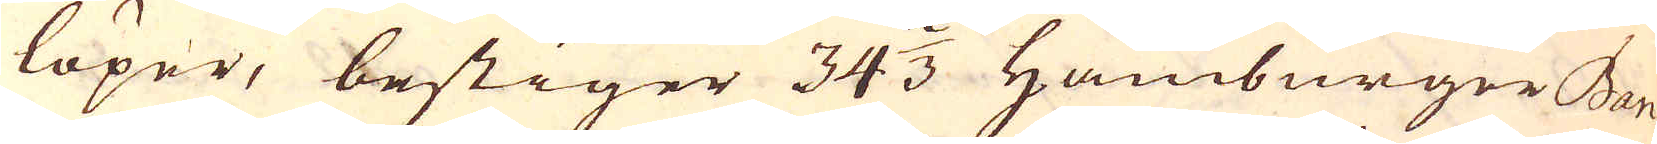löper, bestiger 34 2/3 Hamburger Ban-
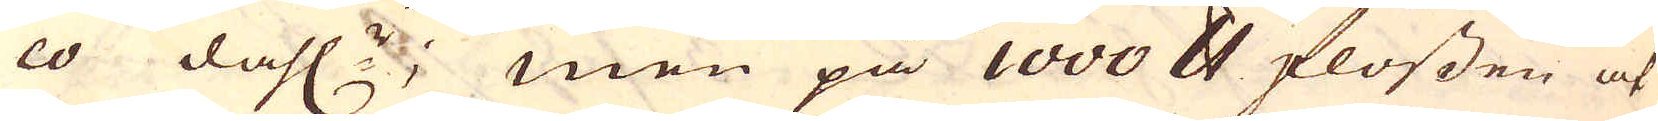co dahl:r; men på 1000 skålpund flossen at
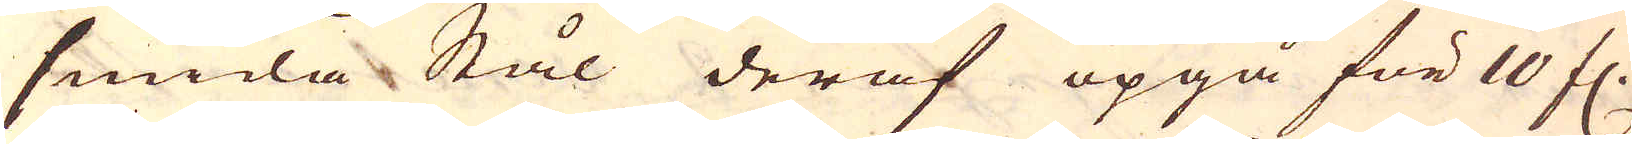smida Stål deraf opgå för 10 fl.
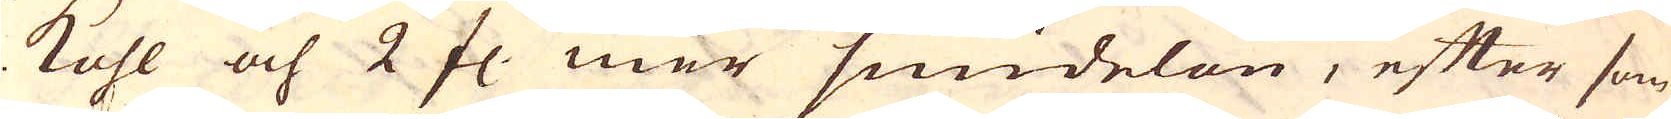kohl och 2 fl. mer smidelön, efter som
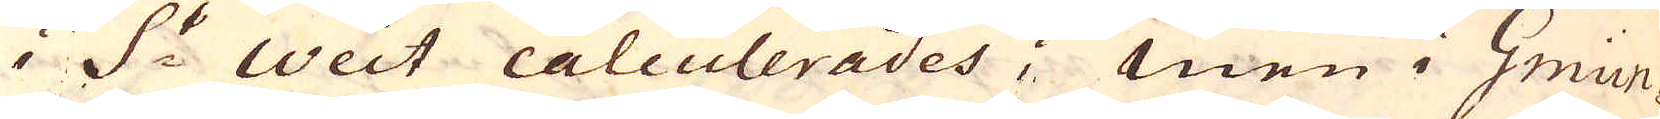i S:t Weit calculerades; Men i Gmün-
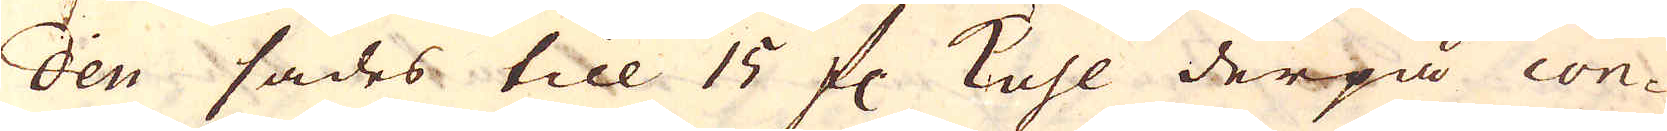den sades till 15 fl kohl derpå con-
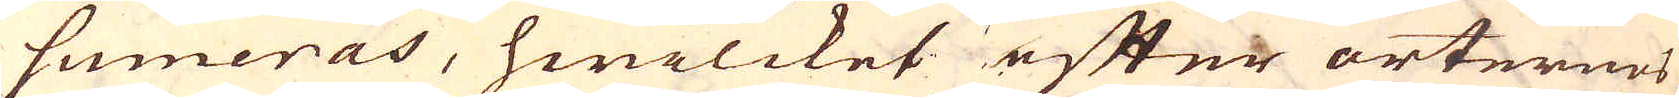sumeras, hwilcket efter orternes
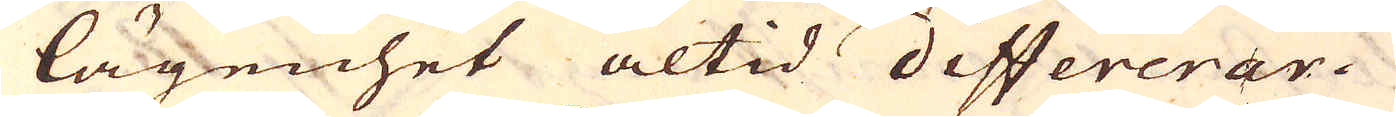lägenhet altid differerar.
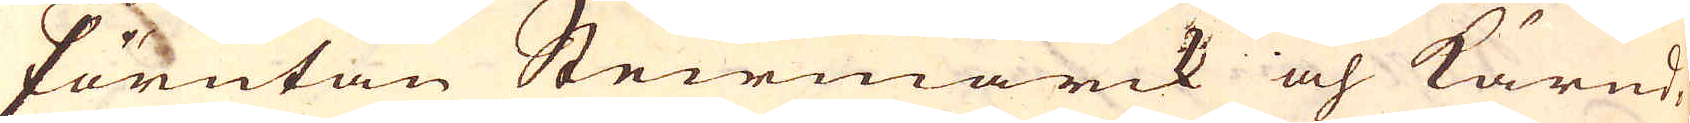Förutan Steirmarck och Kärnd-
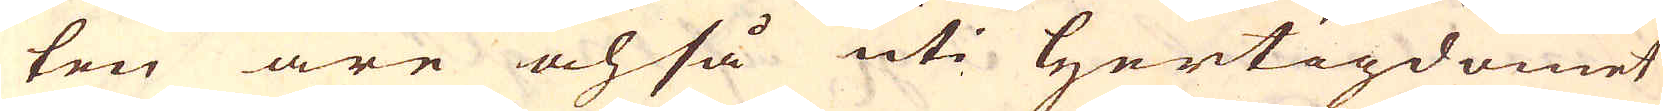ten äre och så uti Hertigdömet
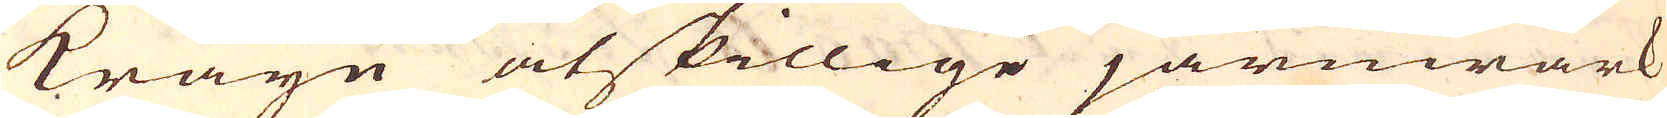Kräyn åtskillige järnwärk
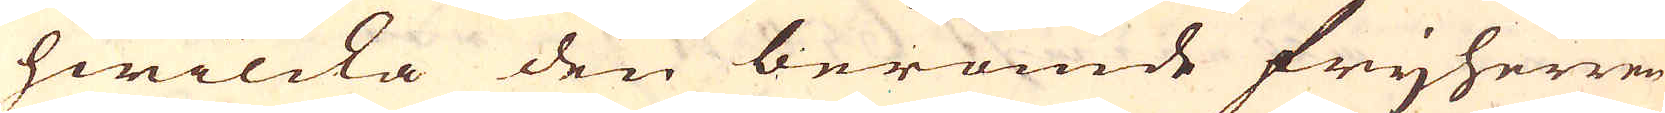hwilcka den berömde frijherren
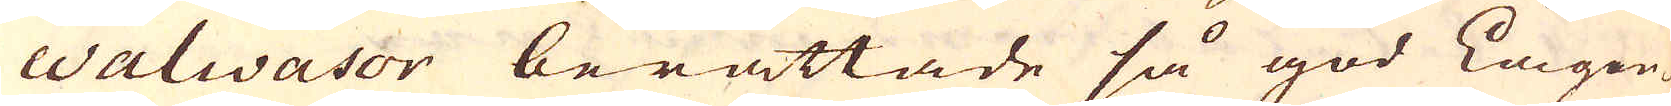Walwasor berättade så god Lägen-
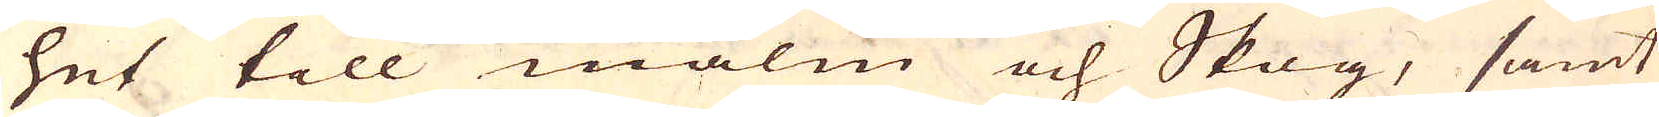het till malm och Skog, samt
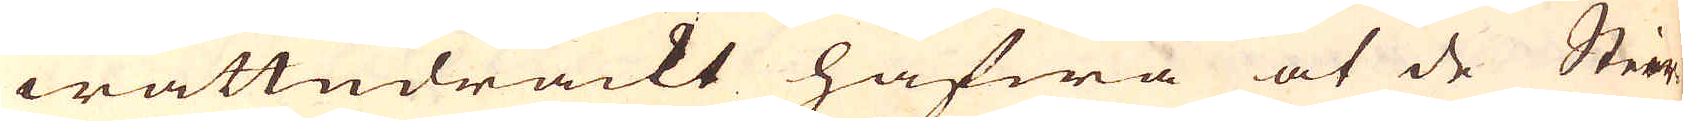wattudräckt hafwa at de Steir-
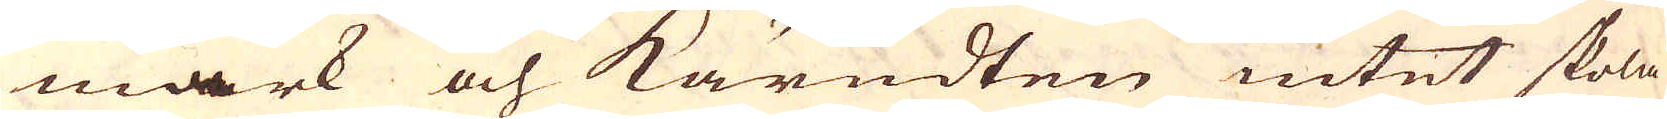mark och Kärndten intet skola
